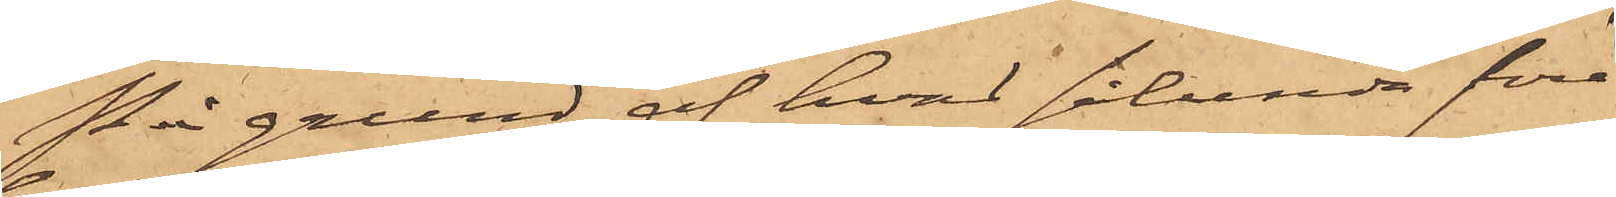På grund af hvad sålunda före¬
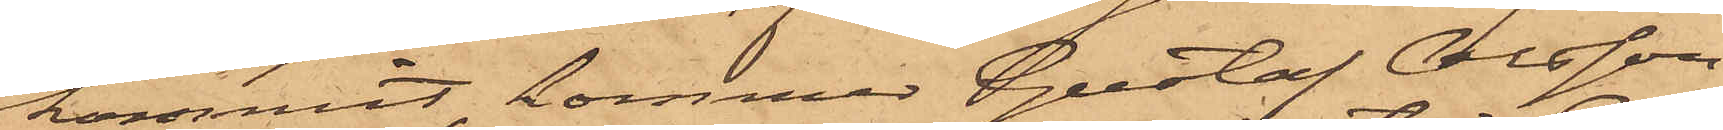kommit, kommer Gustaf Olsson
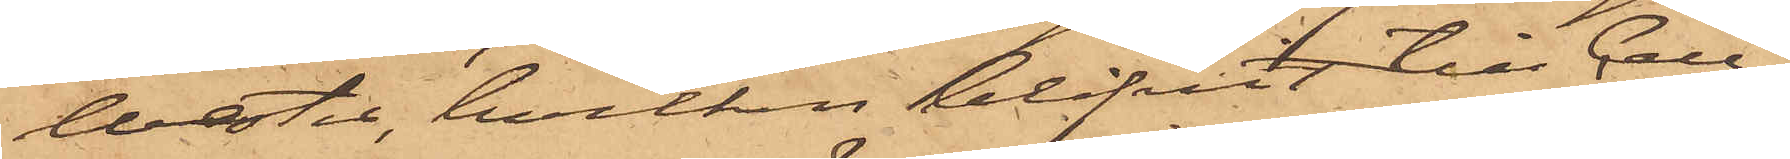Wester, hvilken blifvit till Cell¬
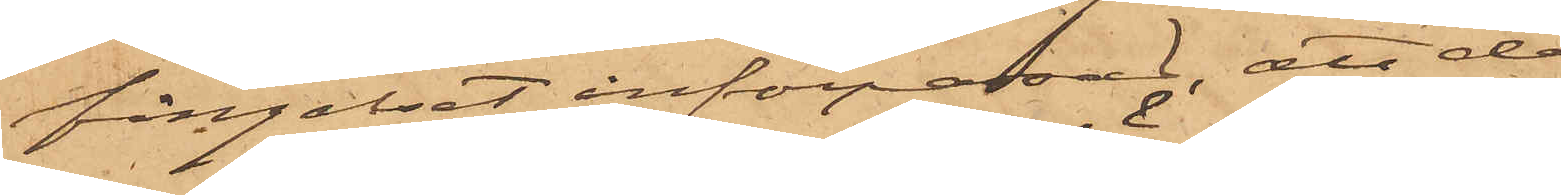fängelset införpassad, att denna
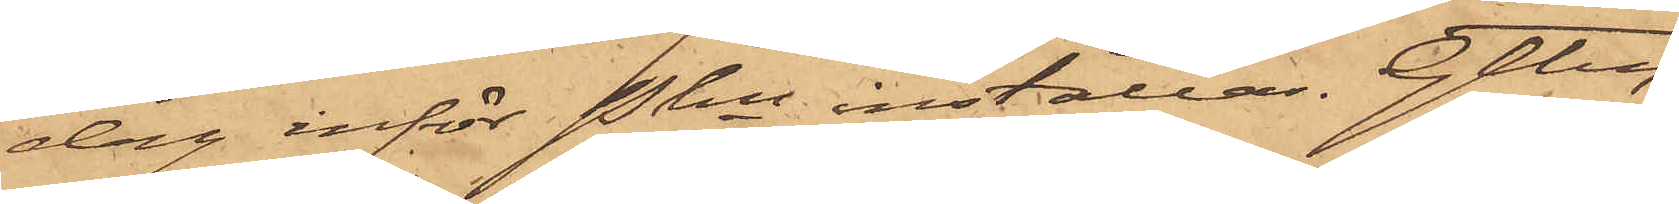dag inför Pkn inställas. Gtbg
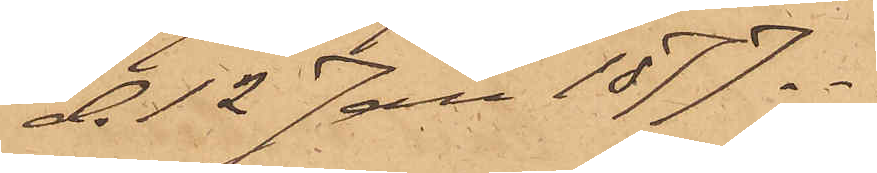d.12 Jan 1877.
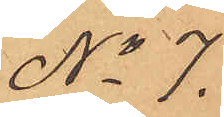No 7.
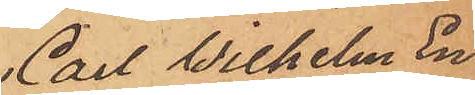Carl Wilhelm En
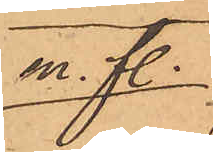m. fl.
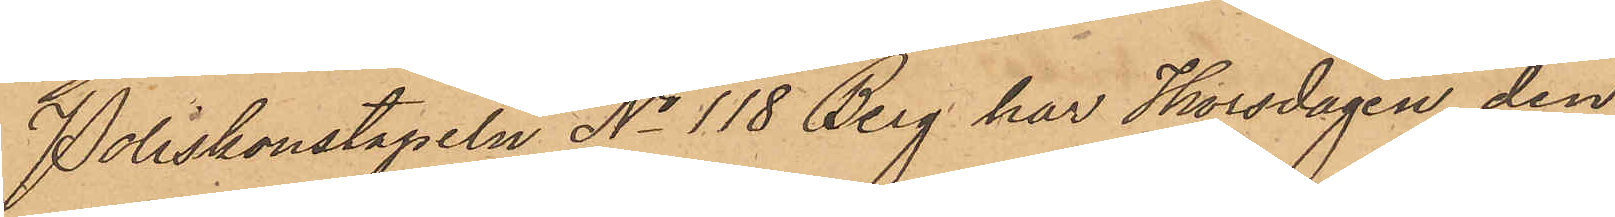Poliskonstapeln No 118 Berg har Thorsdagen den
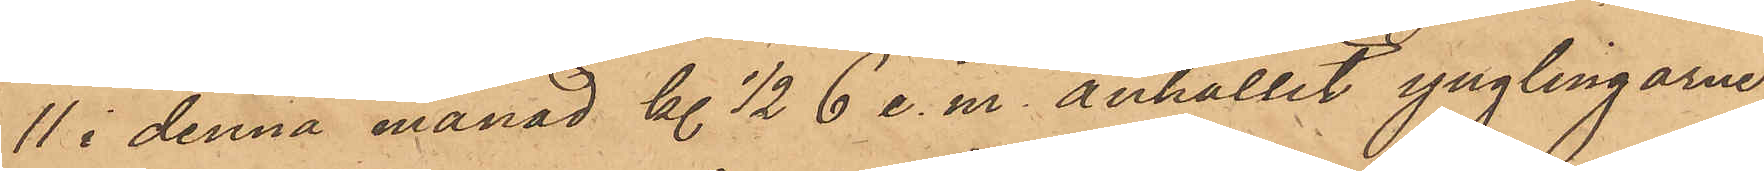11 i denna månad kl. 1/2 6 e. m. anhållit ynglingarne
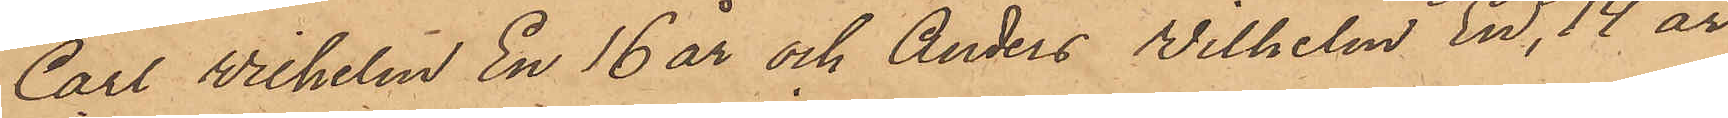Carl Wilhelm En 16 år och Anders Wilhelm En, 14 år
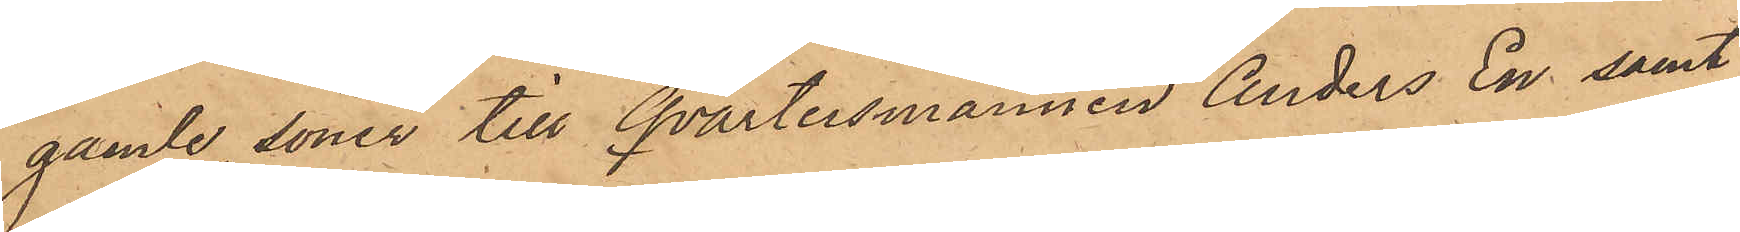gamle, söner till Qvartersmannen Anders En samt
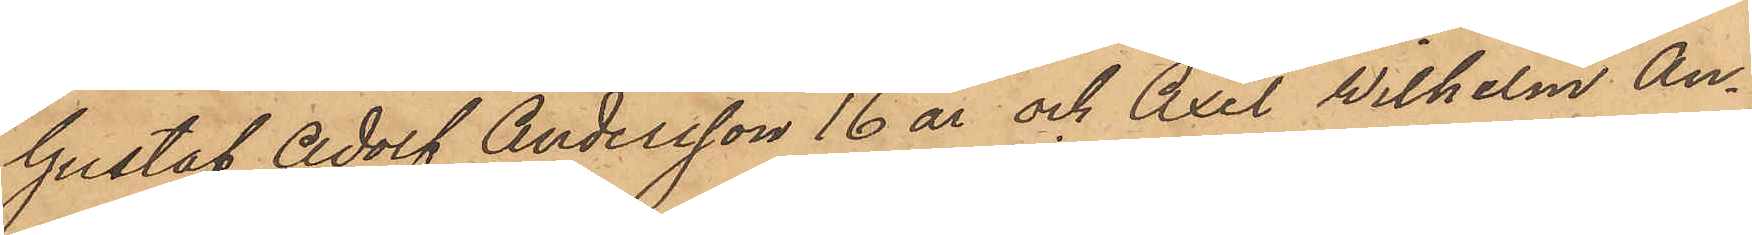Gustaf Adolf Andersson 16 år och Axel Wilhelm An¬
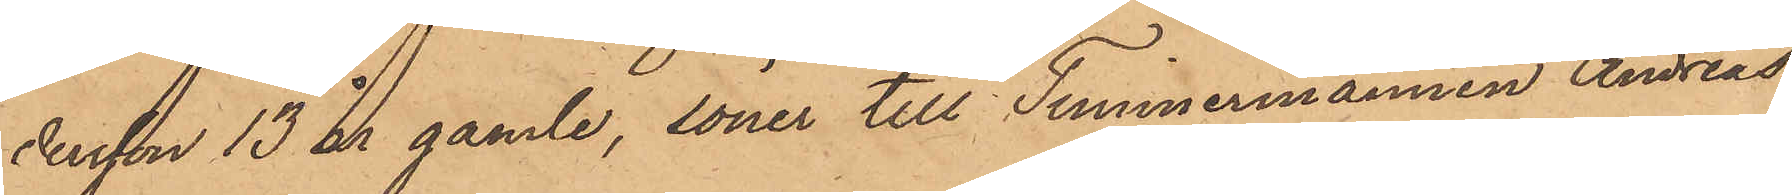dersson 13 år gamle, söner till Timmermannen Andreas
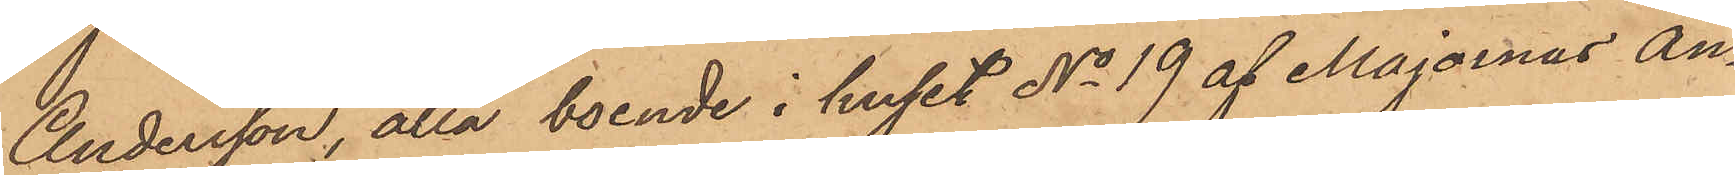Andersson, alla boende i huset No 19 af Majornas An¬
